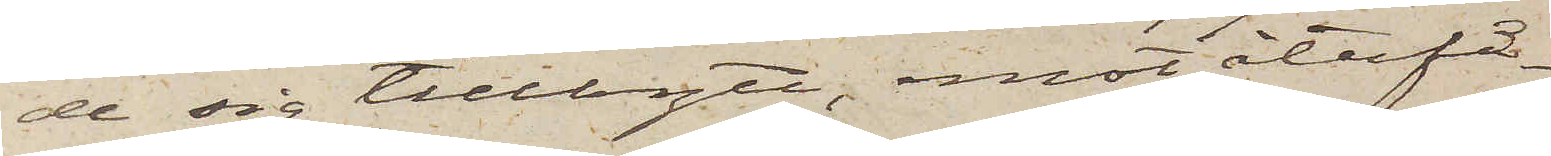de sig tillbytt, emot återfå¬
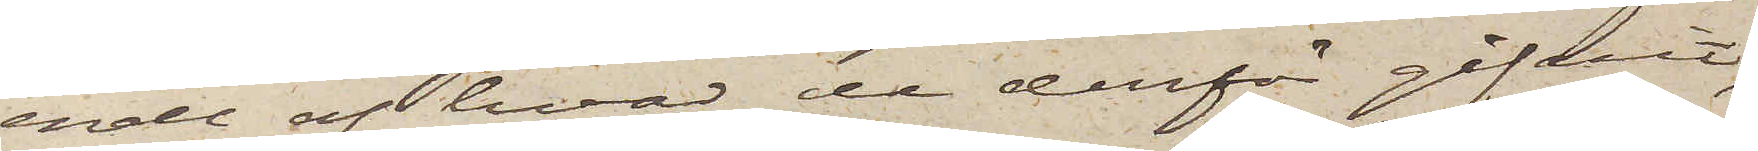ende af hvad de derför gifvit,
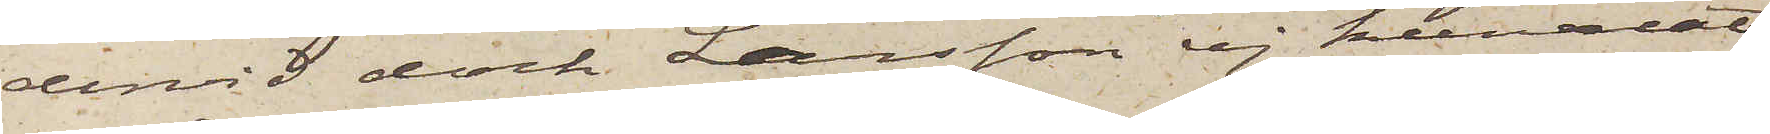dervid dock Larsson ej kunnat
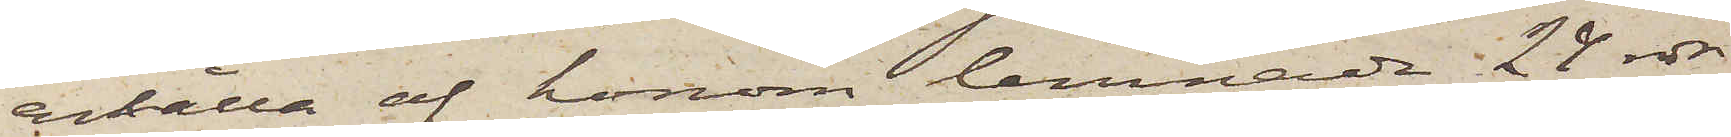erhålla af honom lemnade 24 rdr,
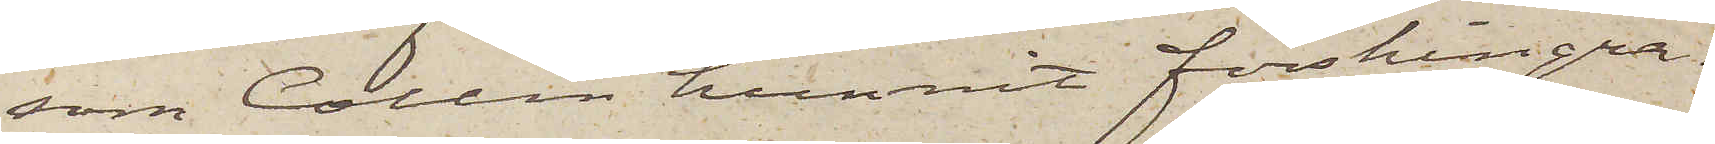som Collin hunnit förskingra.
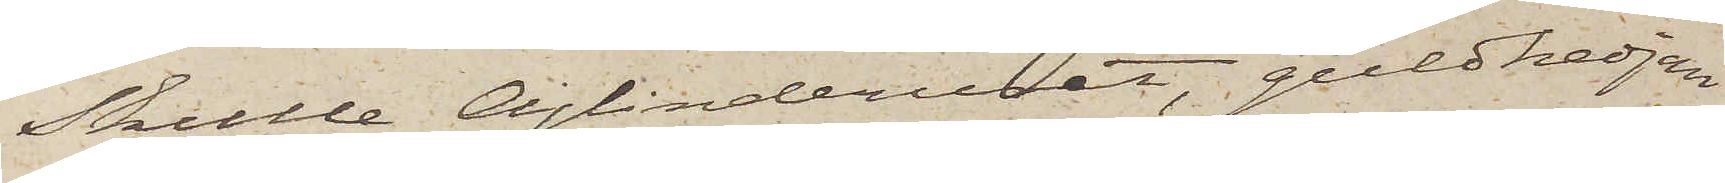Skulle cylinderuret, guldkedjan
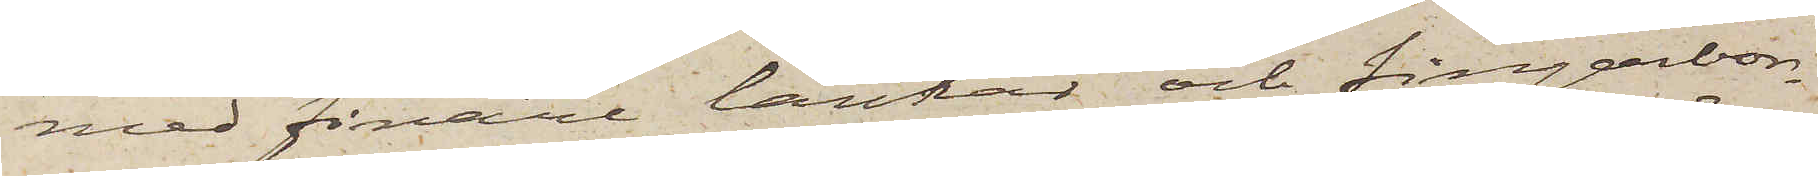med finare länkar och fingerbor¬
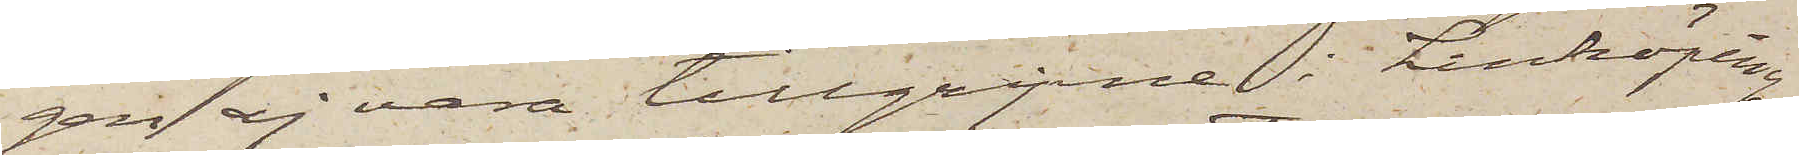gen ej vara tillgripne i Linköping
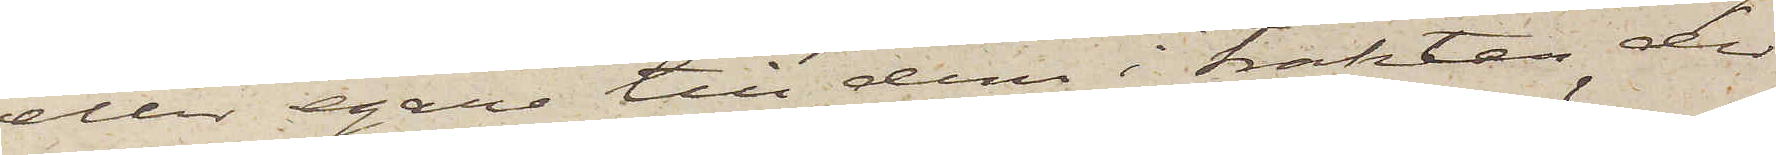eller egare till dem i trakten der
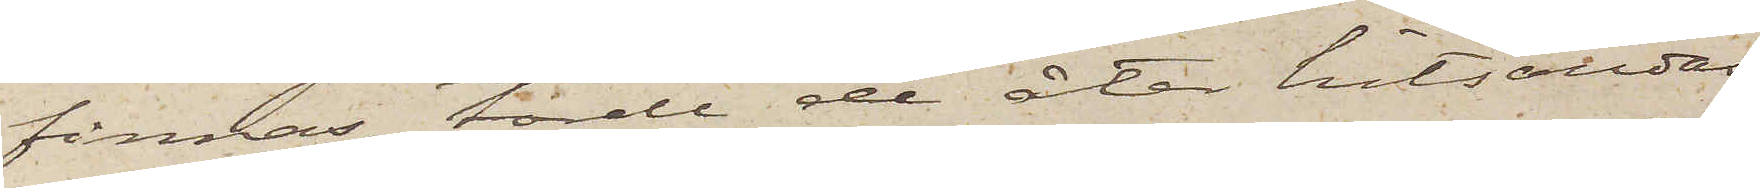finnas, torde de åter hitsändas.
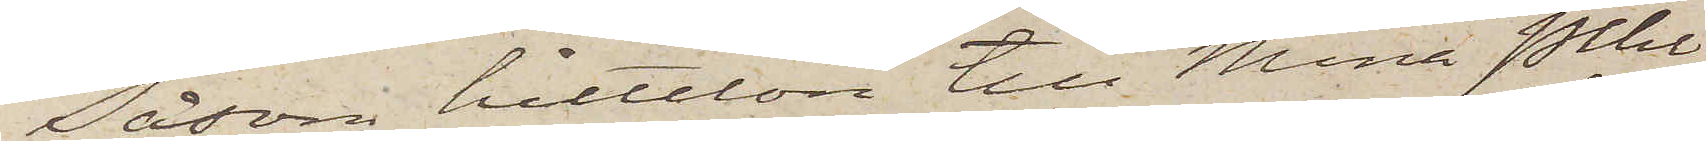Såsom hittelön till Mina Pihl¬
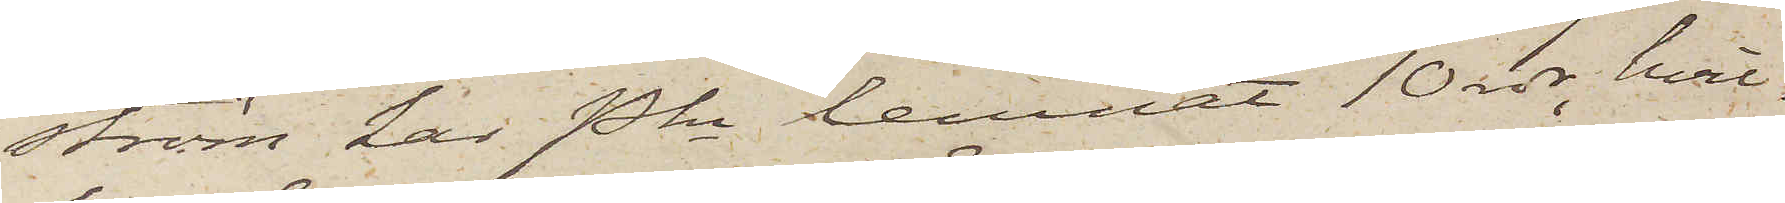ström har Pkn lemnat 10 rdr, hvil¬
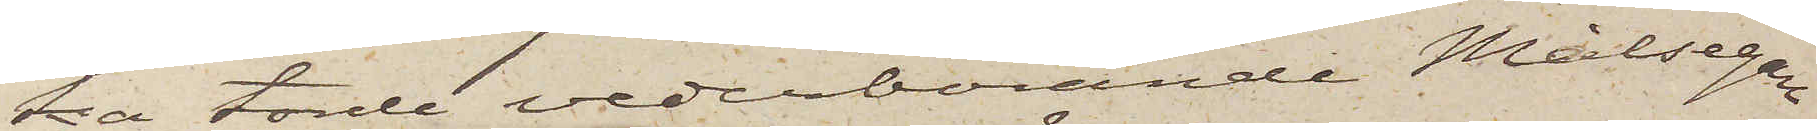ka torde vederbörande Målsegare
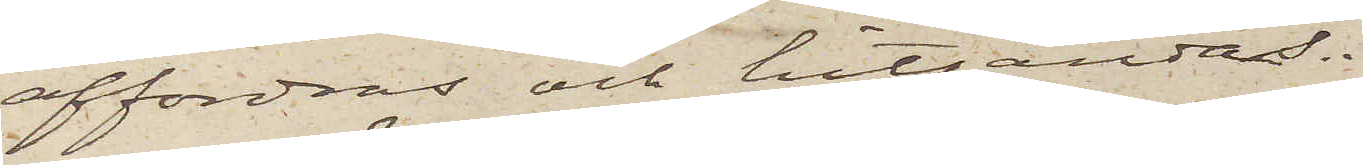affordras och hitsändas.
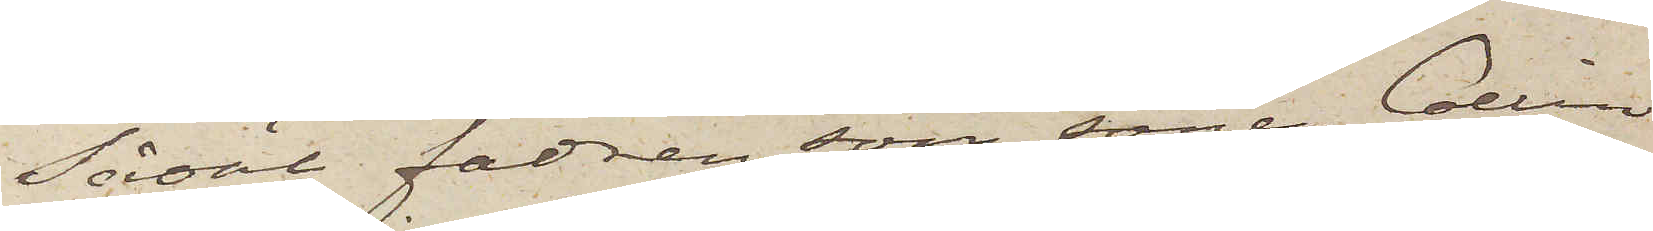Såväl fadren som sonen Collin
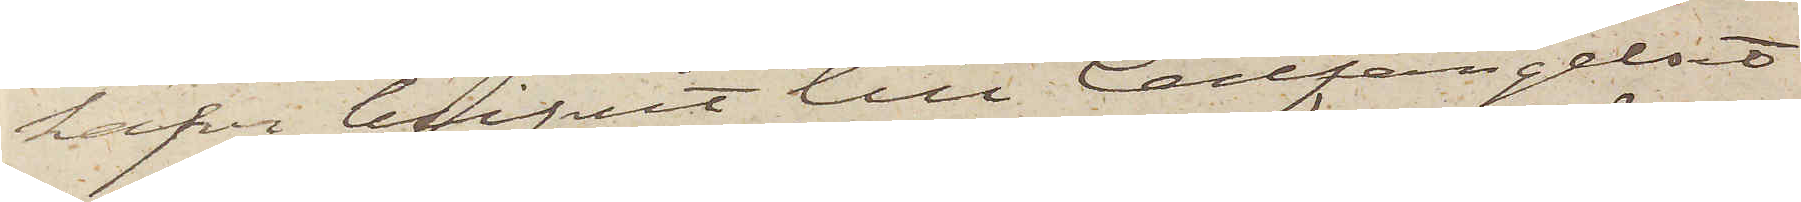hafva blifvit till Cellfängelset
